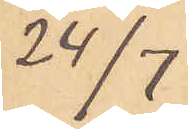24/7
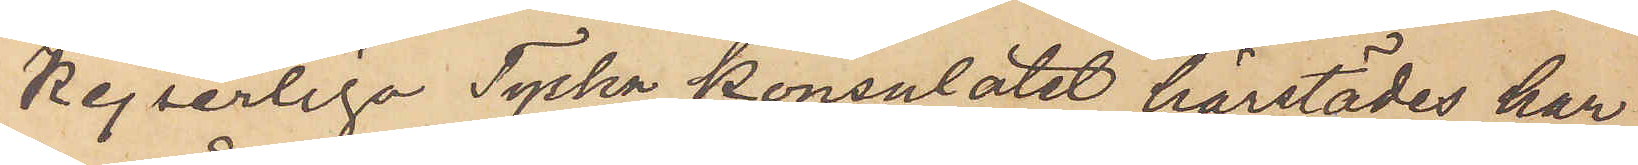Kejserliga Tyska konsulatet härstädes har
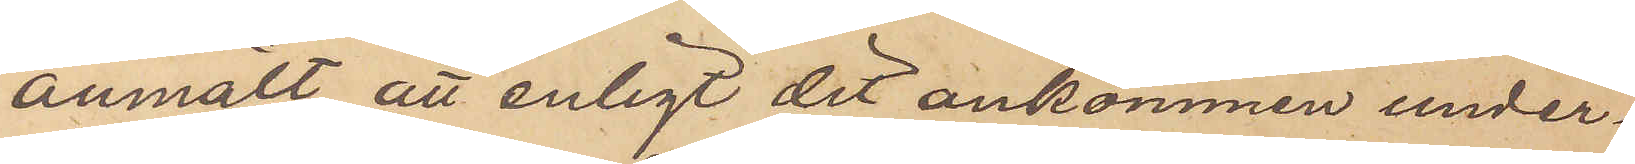anmält, att enligt dit ankommen under¬
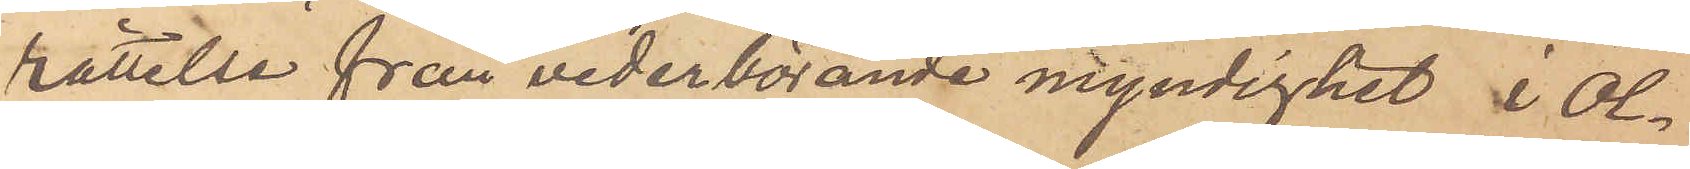rättelse från vederbörande myndighet i Ol¬
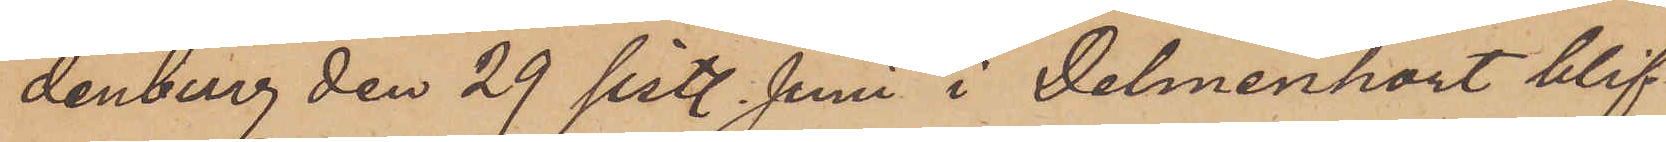denberg den 29 sist. Juni i Delmenhort blif¬
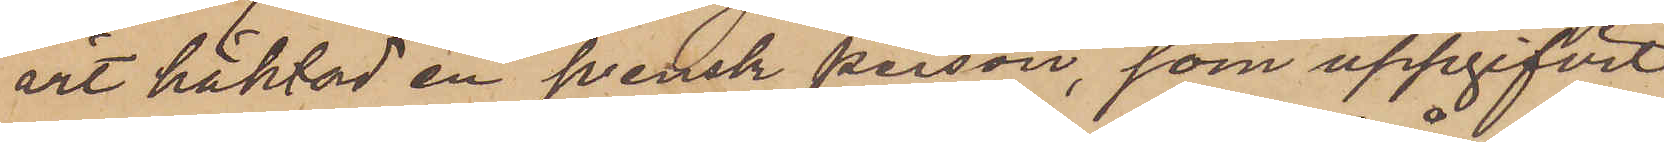art häktad en svensk person, som uppgifvit
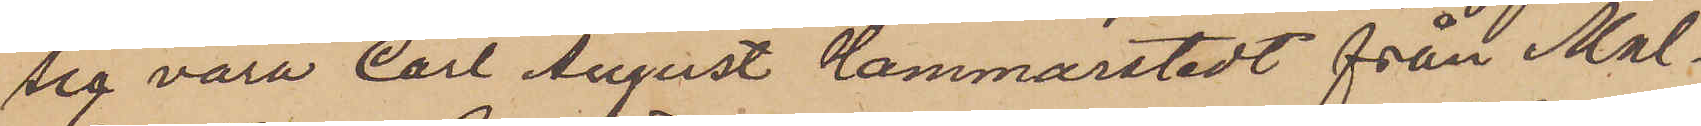sig vara Carl August Hammarstedt från Mal¬
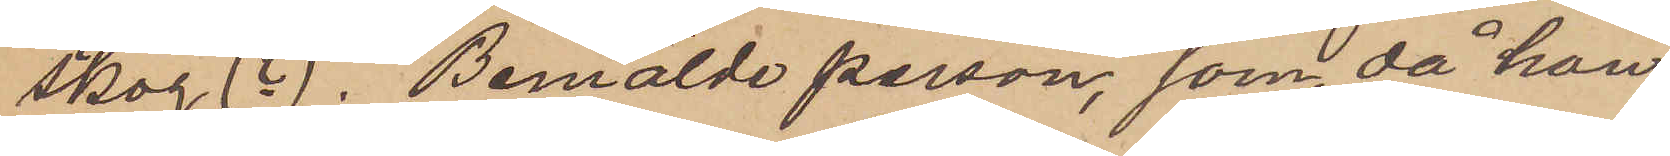skog (?). Bemälde person, som, då han
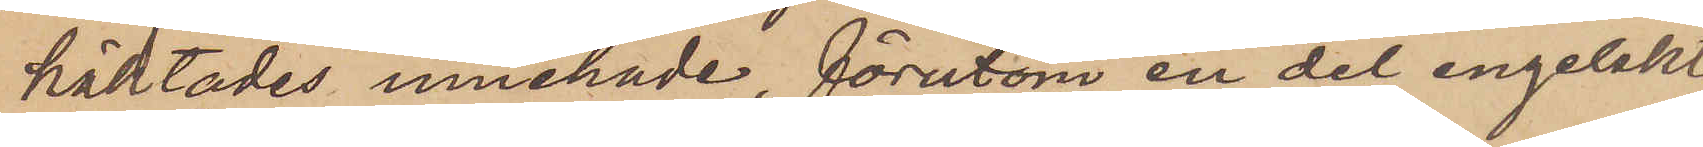häktades innehade, förutom en del engelskt
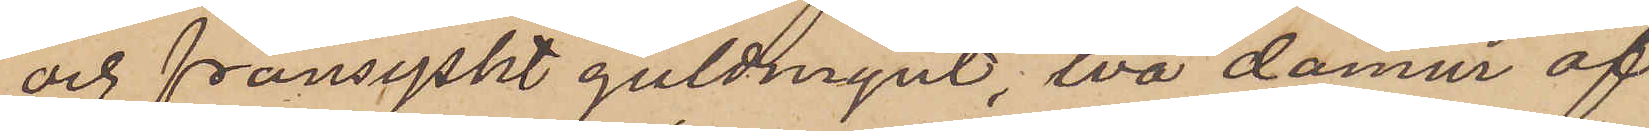och fransyskt guldmynt, två damur af
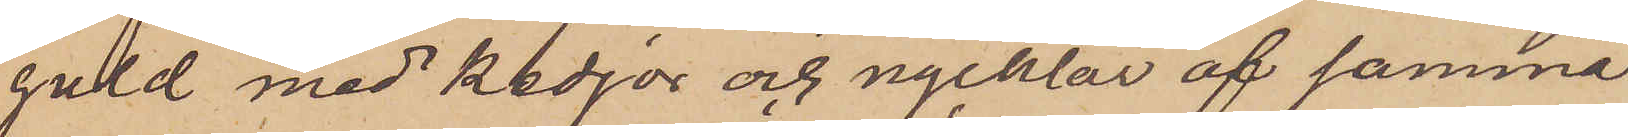guld med kedjor och nycklar af samma
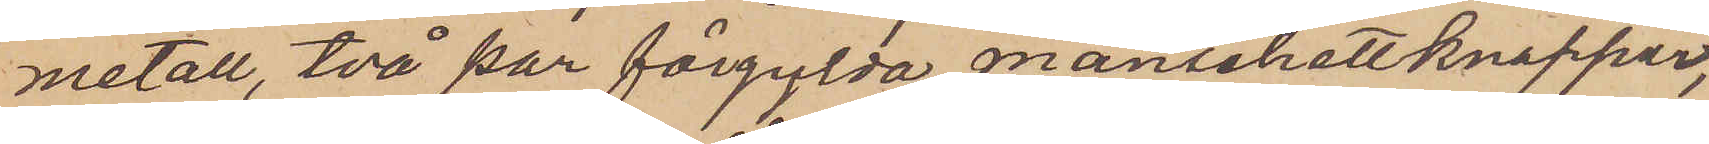metall, två par förgylda manschettknappar,
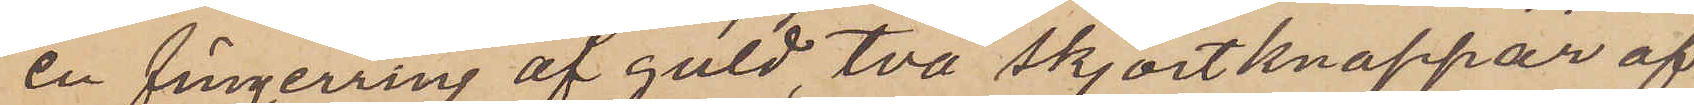en fingerring af guld, två skjortknappar af
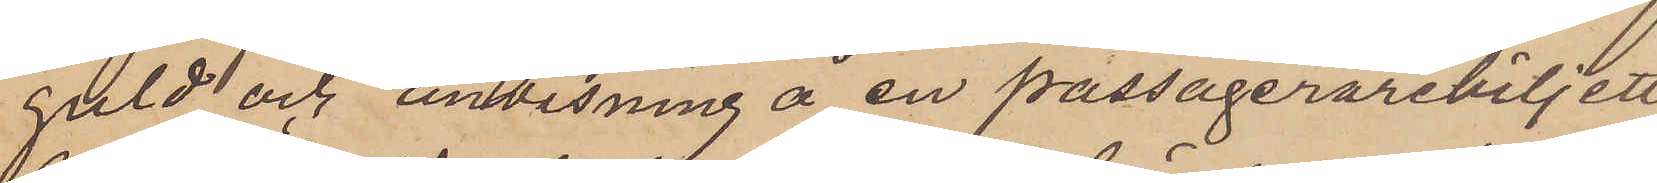guld och anvisning å en passagerarebiljett
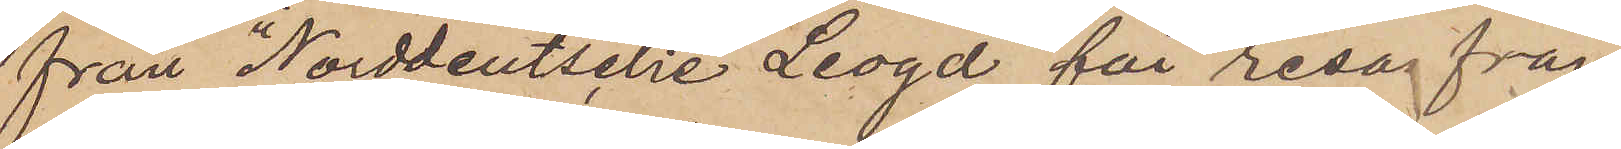från "Norddeutsche Leogd" för resa från
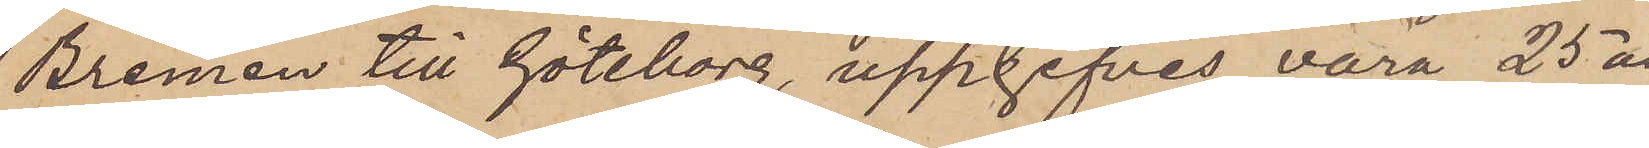Bremen till Göteborg, uppgifves vara 25 år
